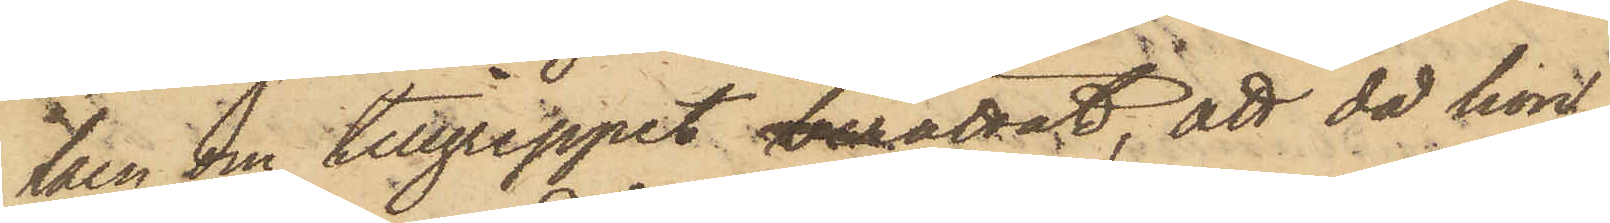ken om tillgreppet berättat, att då hon,
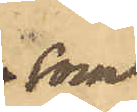 som
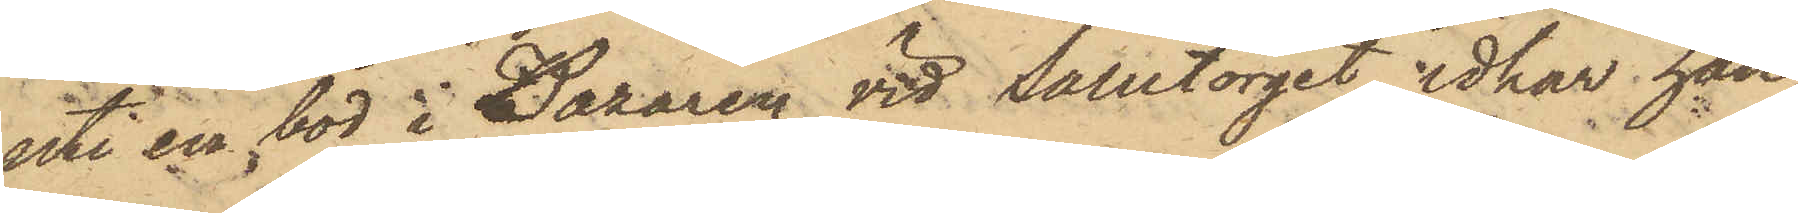uti en bod i Bazaren vid Salutorget idkar han¬
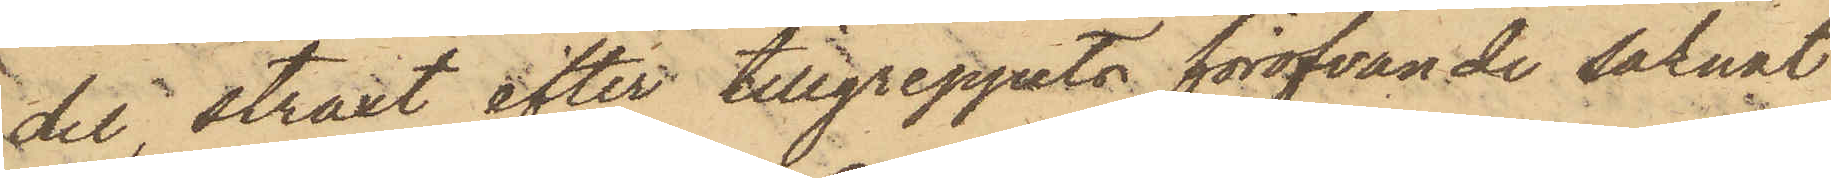del straxt efter tillgreppets föröfvande saknat
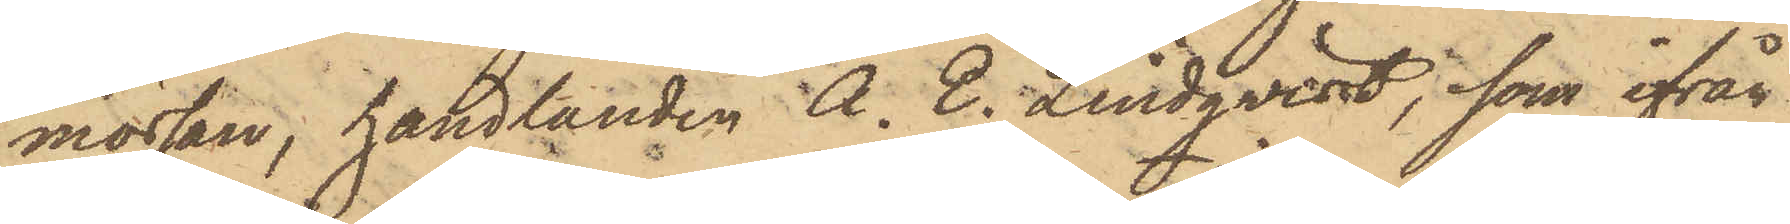mössan, handlanden A. E. Lindqvist, som ifrån
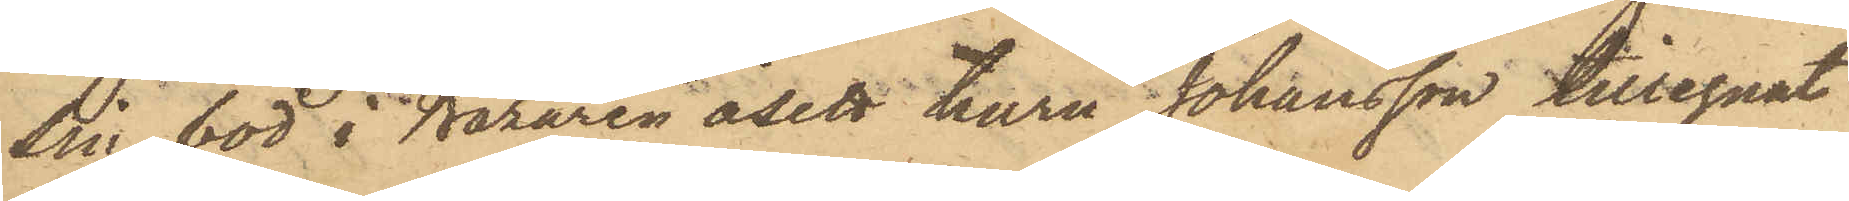sin bod i Bazaren åsett huru Johansson tillegnat
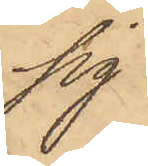sig
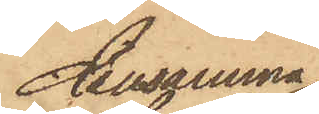densamma,
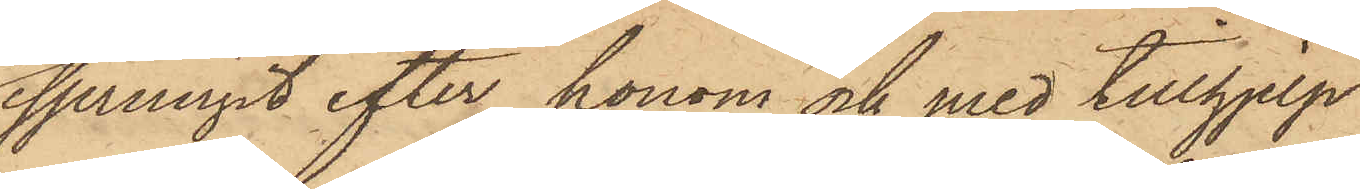sprungit efter honom och med tillhjelp
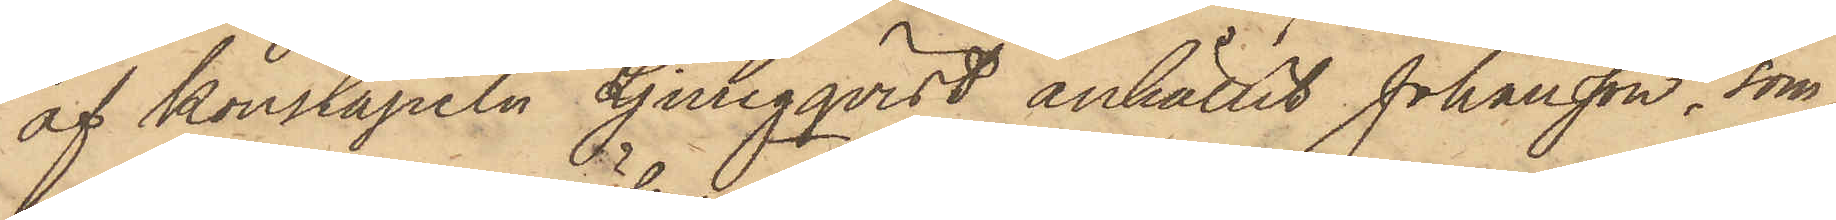af konstapeln Ljungqvist anhållit Johansson, som
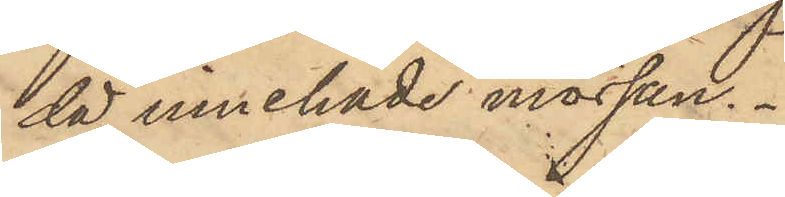då innehade mössan.
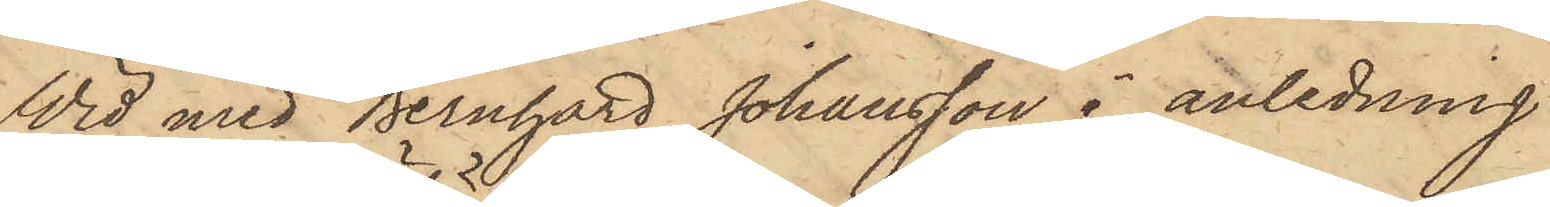Wid med Bernhard Johansson i anledning
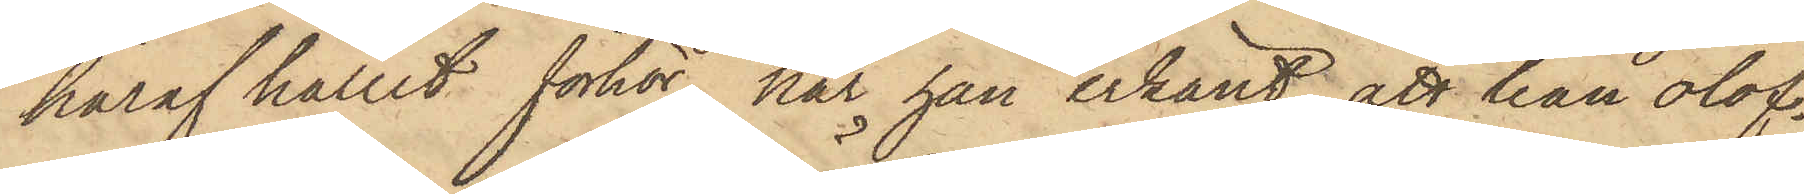häraf hållit förhör, har han erkänt, att han olof¬
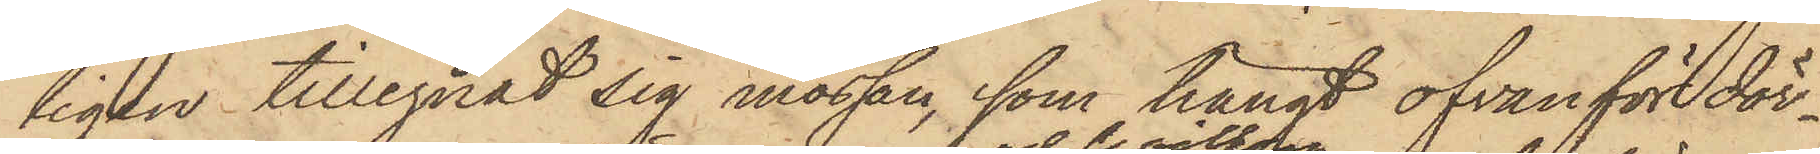ligen tillegnat sig mössan, som hängt ofvanför dör¬
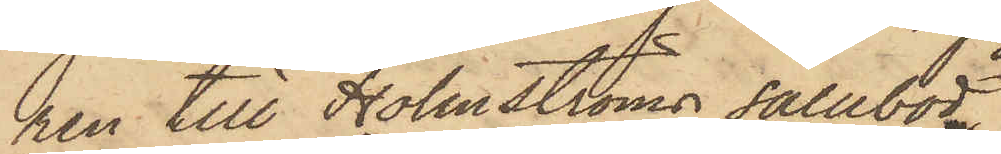ren till Holmströms salubod
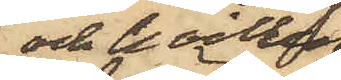och hvilken
